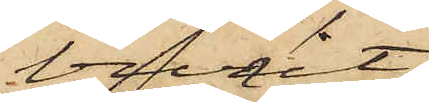vit
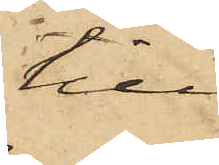till
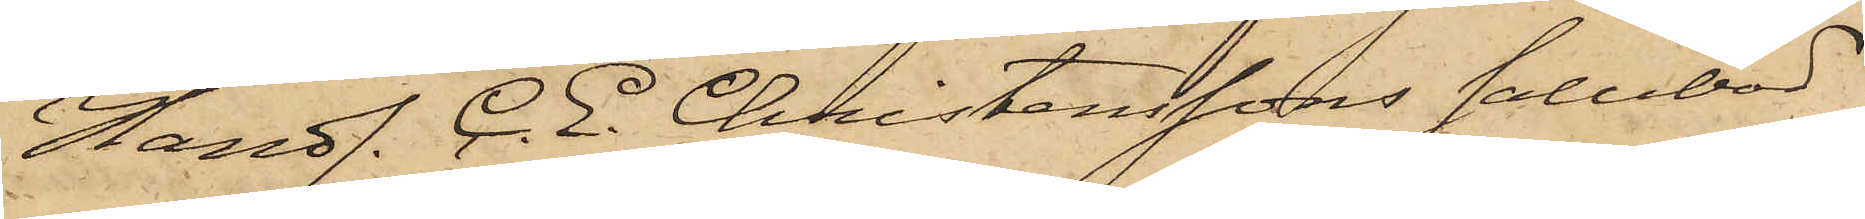Handl. C. E. Christenssons salubod
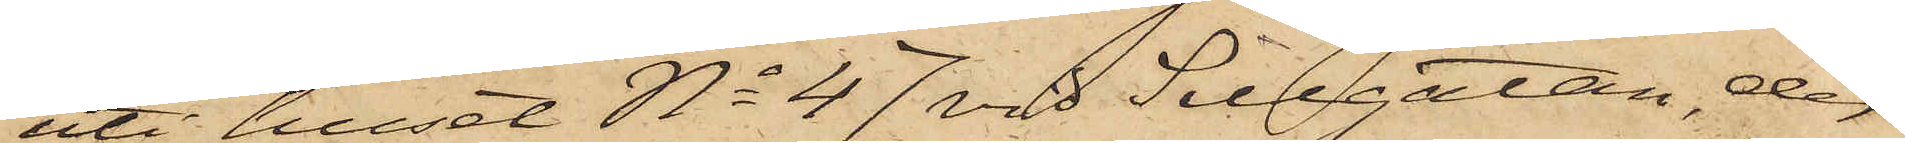uti huset No 47 vid Sillgatan, der
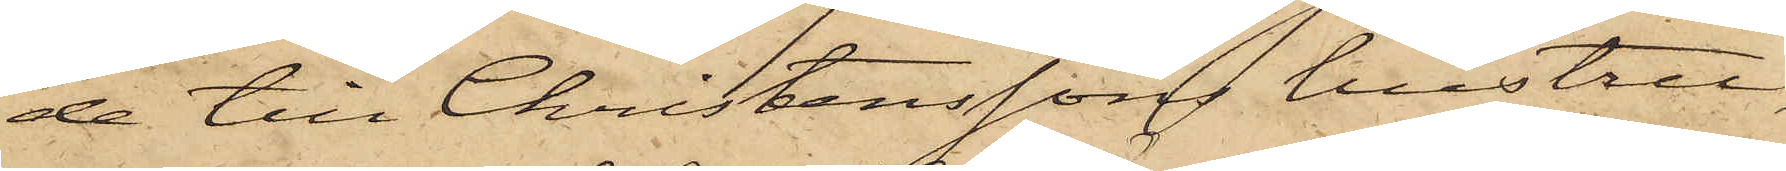de till Christenssons hustru,
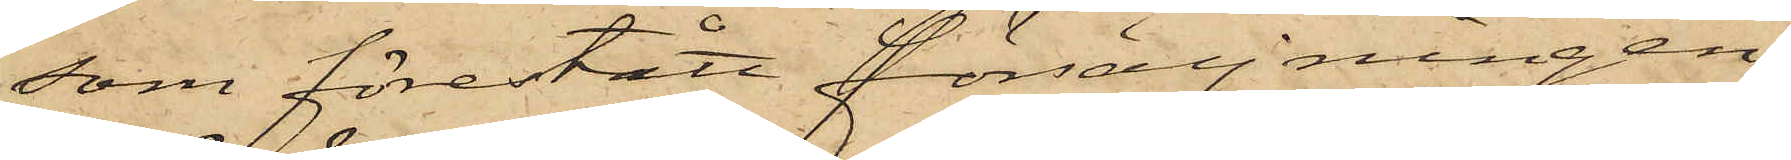som förestått försäljningen,
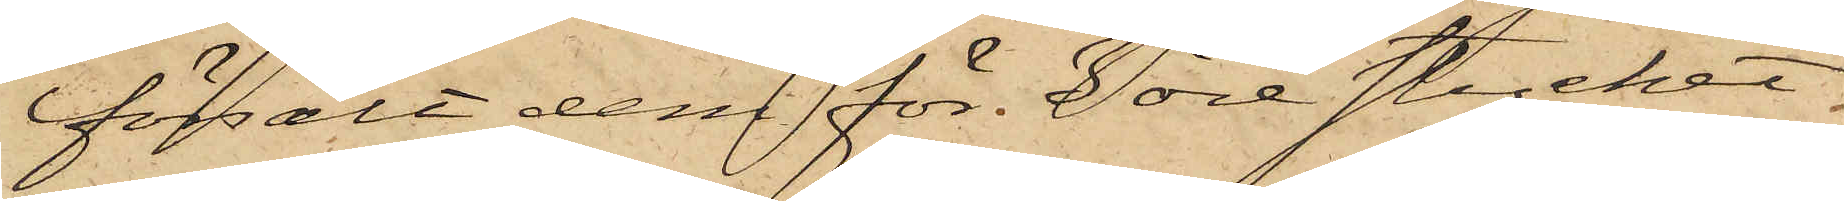försålt dem för 3 öre stycket.
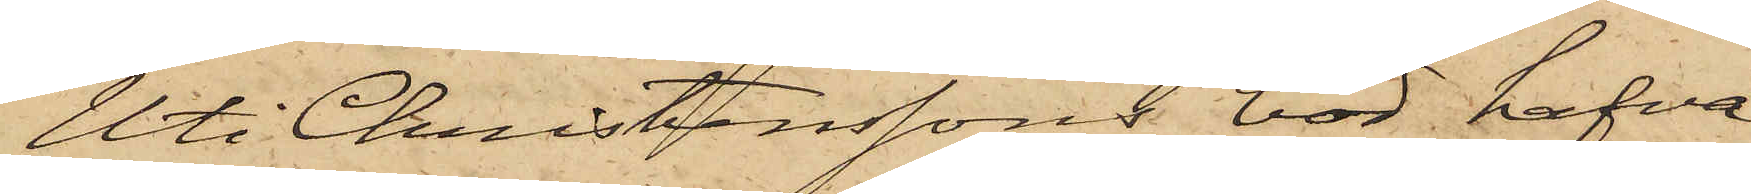Uti Christenssons bod, hafva
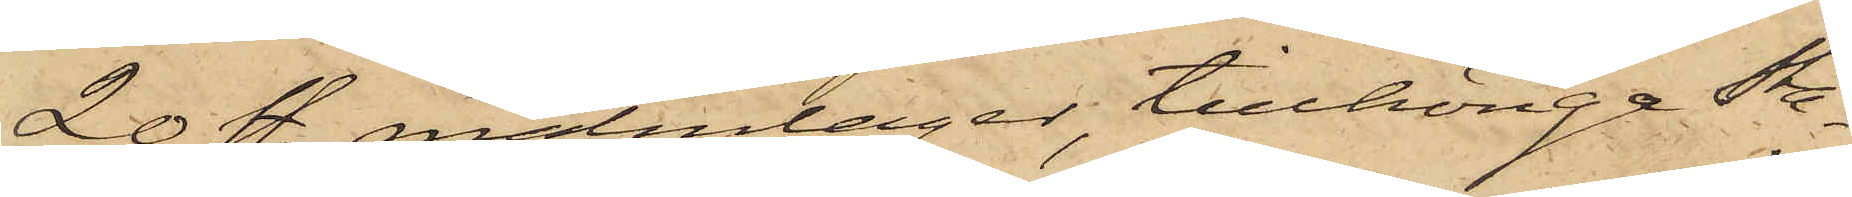20 st. malmlager, tillhöriga Sta¬
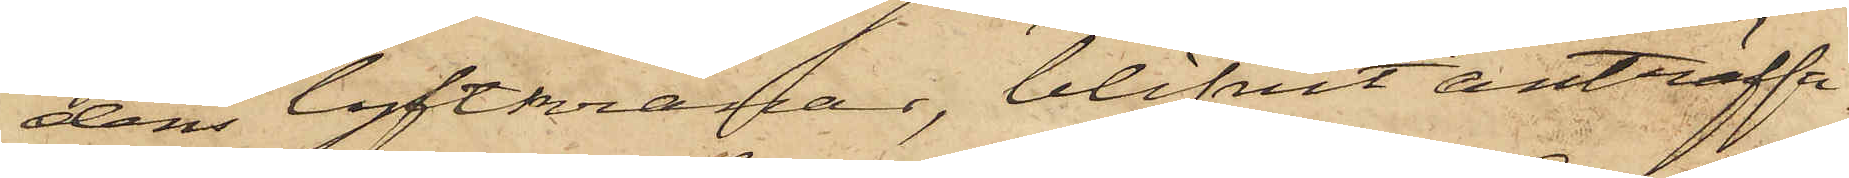dens lyftkranar, blifvit anträffa
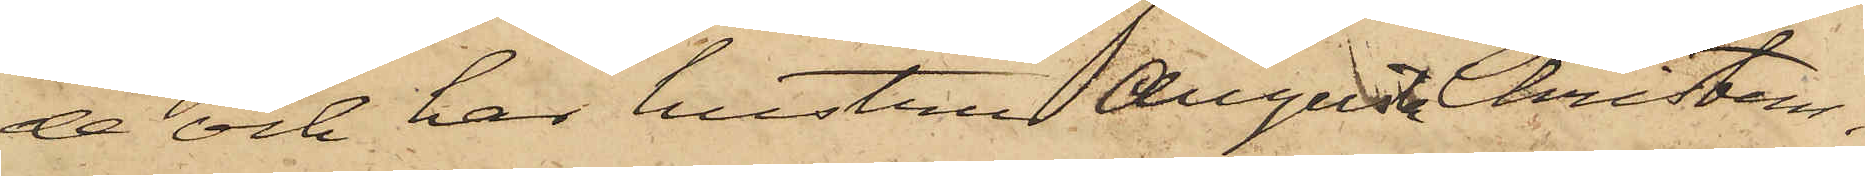de och har hustru Augusta Christens¬
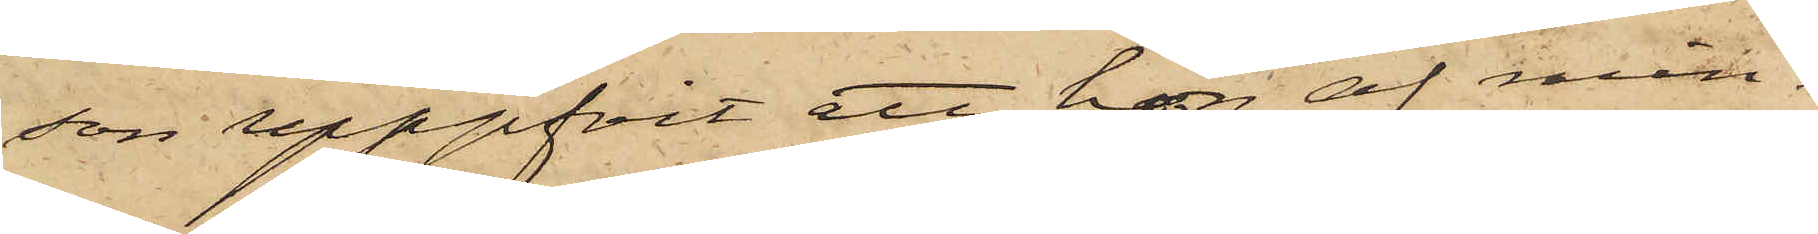son uppgifvit att hon af min¬
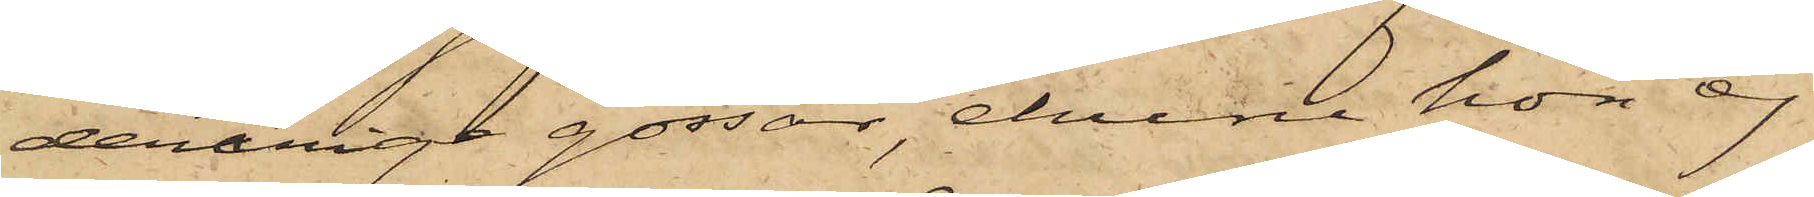derårige gossar, ehuru hon ej
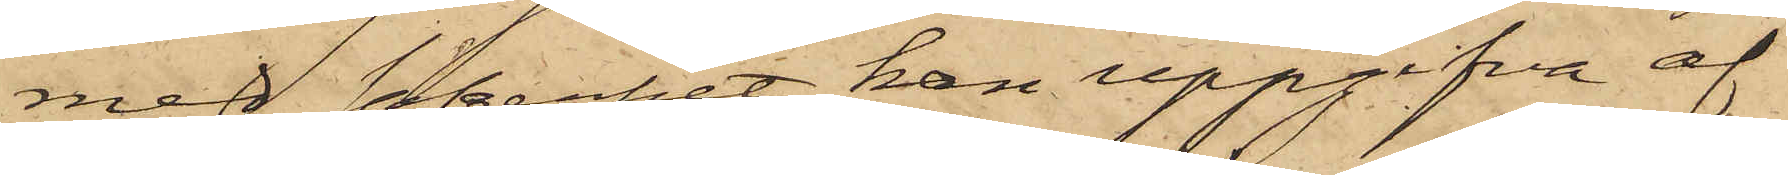med säkerhet kan uppgifva af
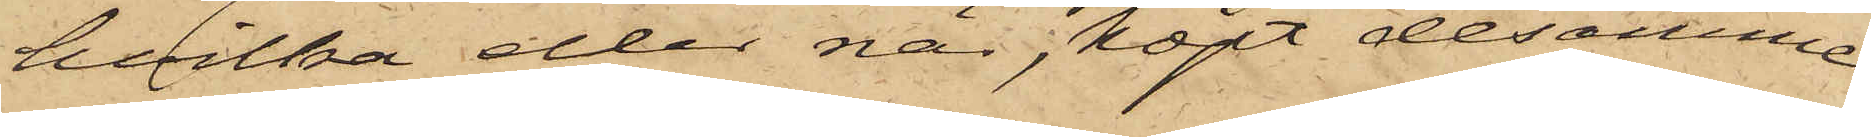hvilka eller när, köpt desamme
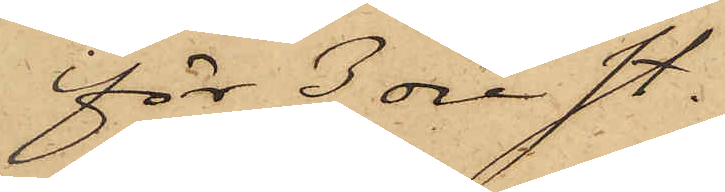för 3 öre st.
